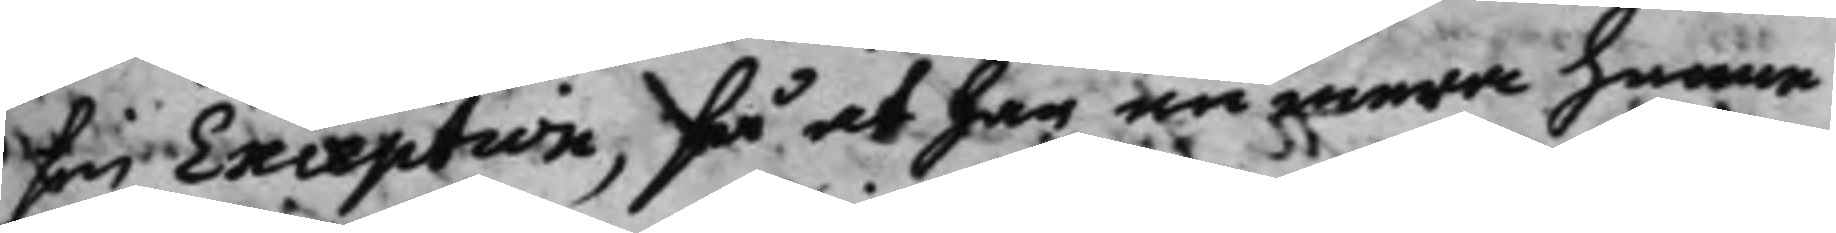sin Exception, så at han nu mera henne
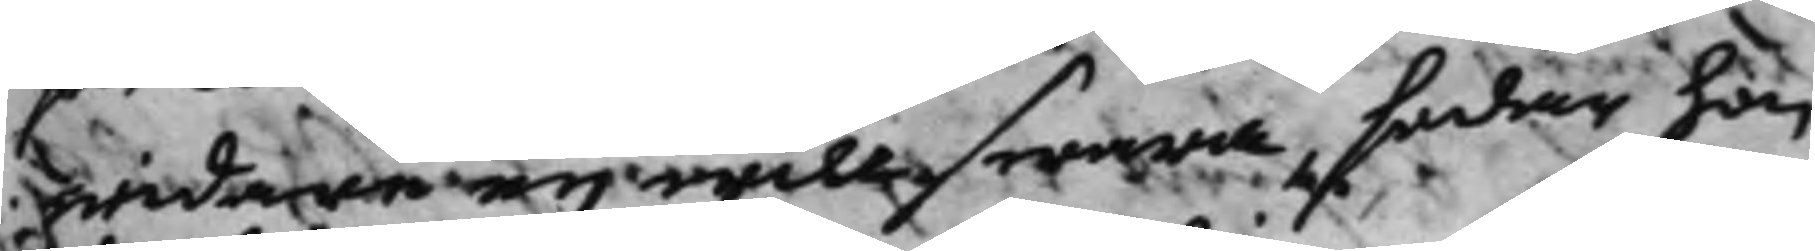widare eij will swara, sedan hon
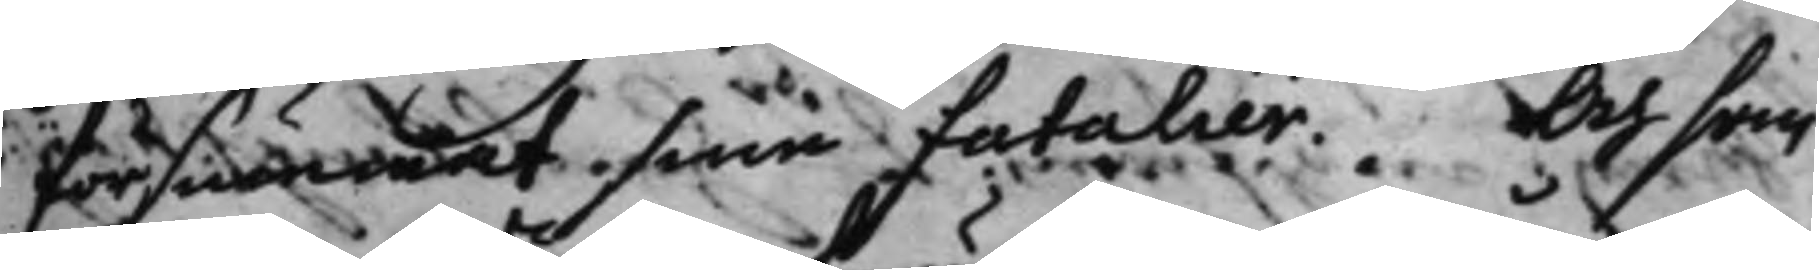försummat sine fatalier. Och som
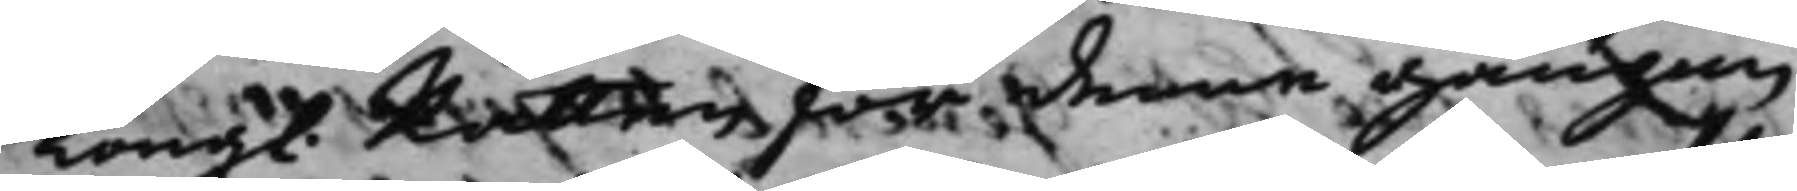Kongl. Rätten för denne gången 
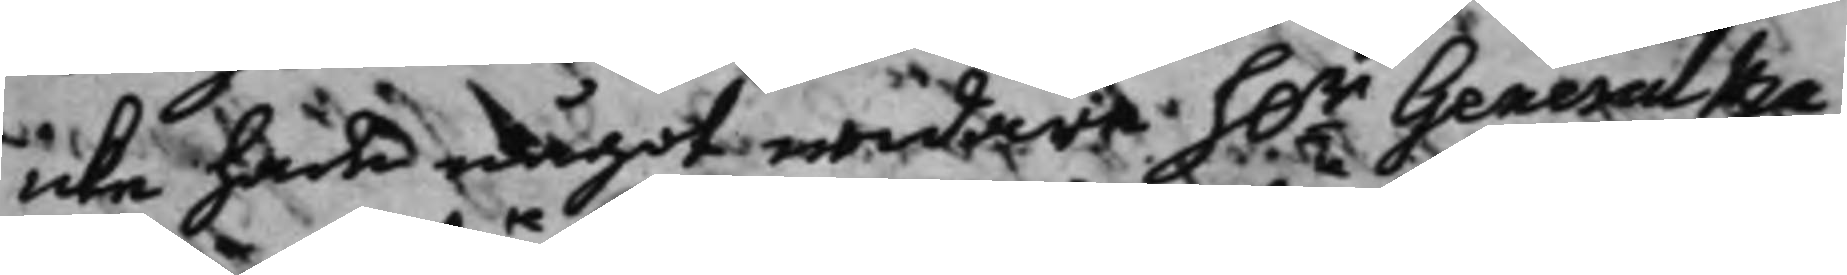icke hade något widare h.r General Ma¬
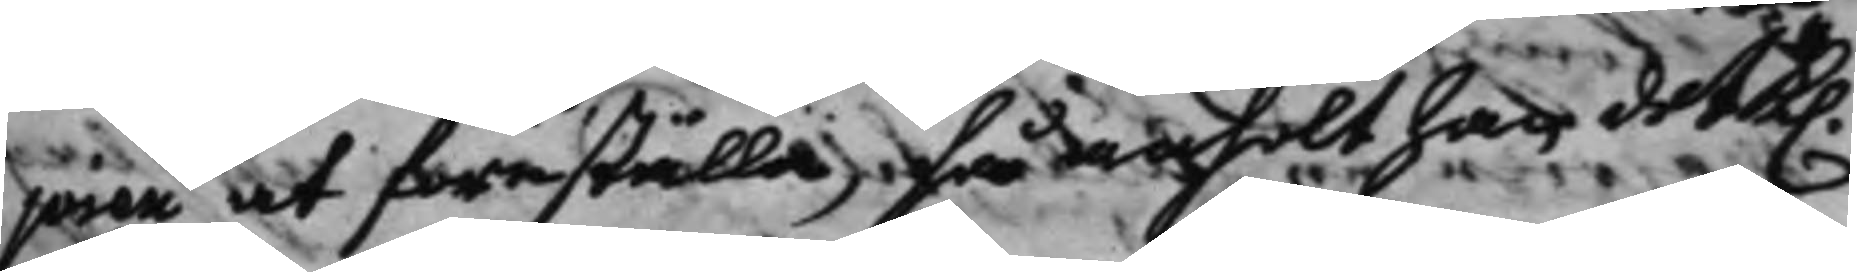joren at föreställa, så anhölt han det K.
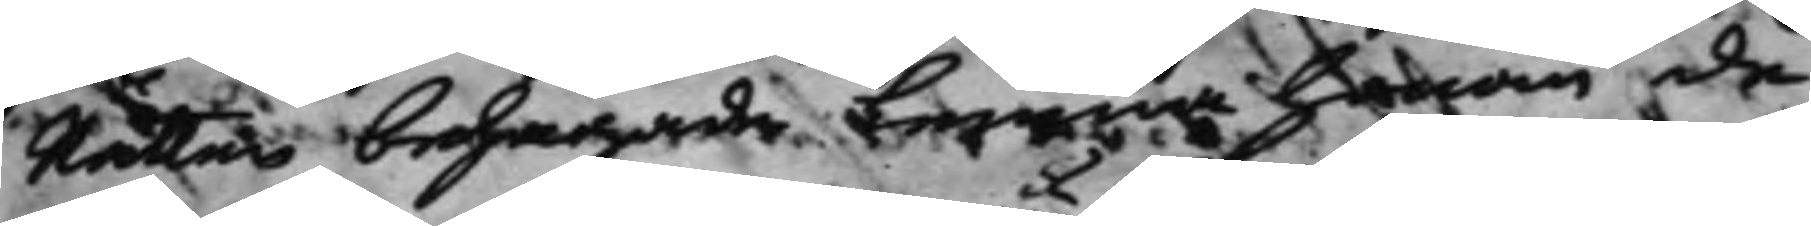Rätten behagade lemna honom de
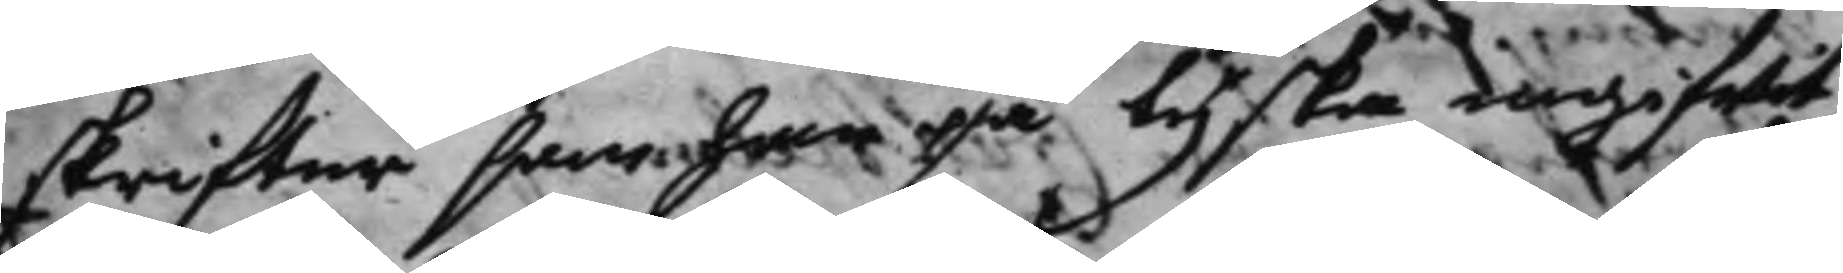skriffter som han på tyska ingifwit,
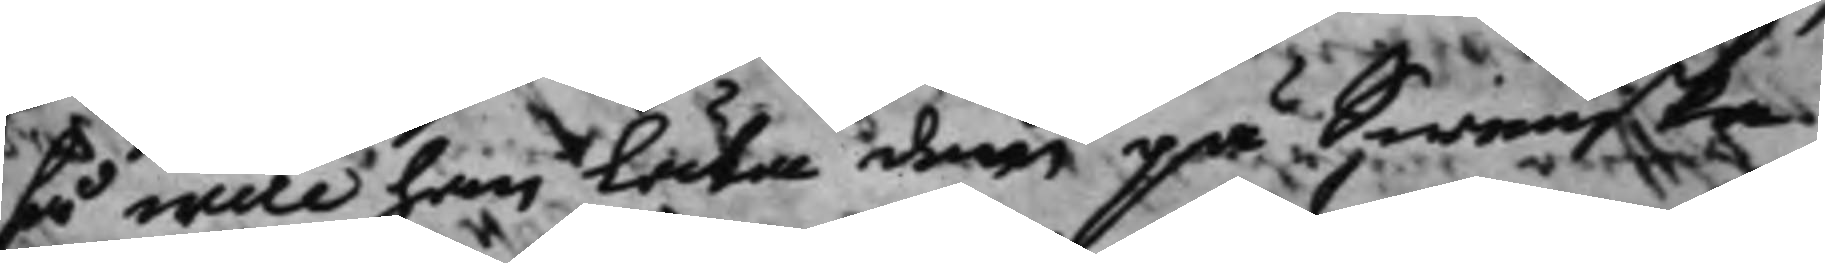så wille han låta dem på Swenska
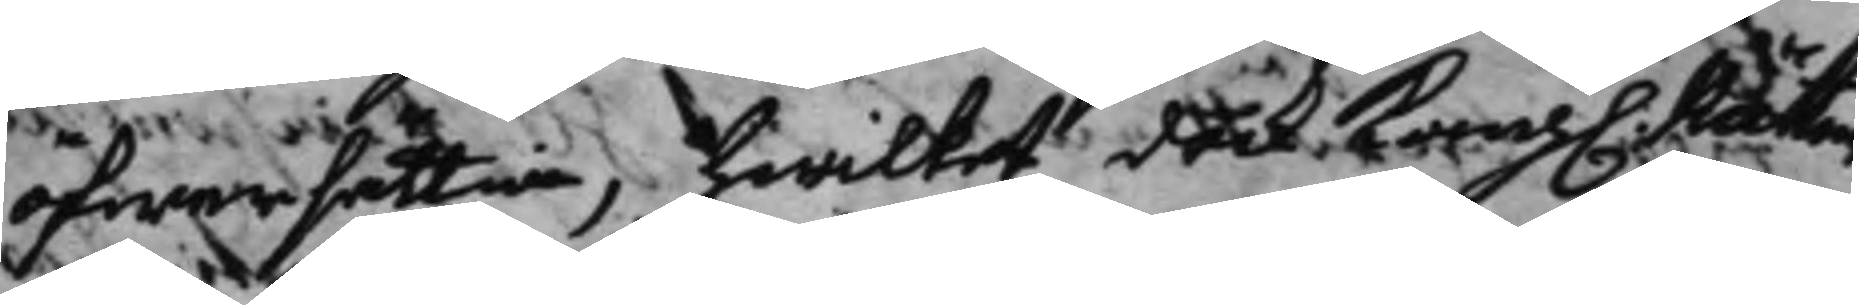öfwersättia, hwilket dock Kong. Rätten
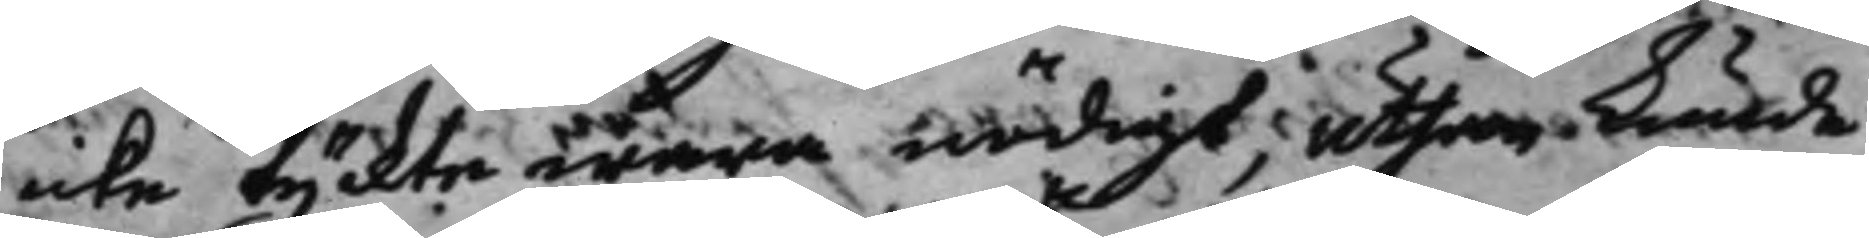icke tyckte wara nödigt; uthan kunde
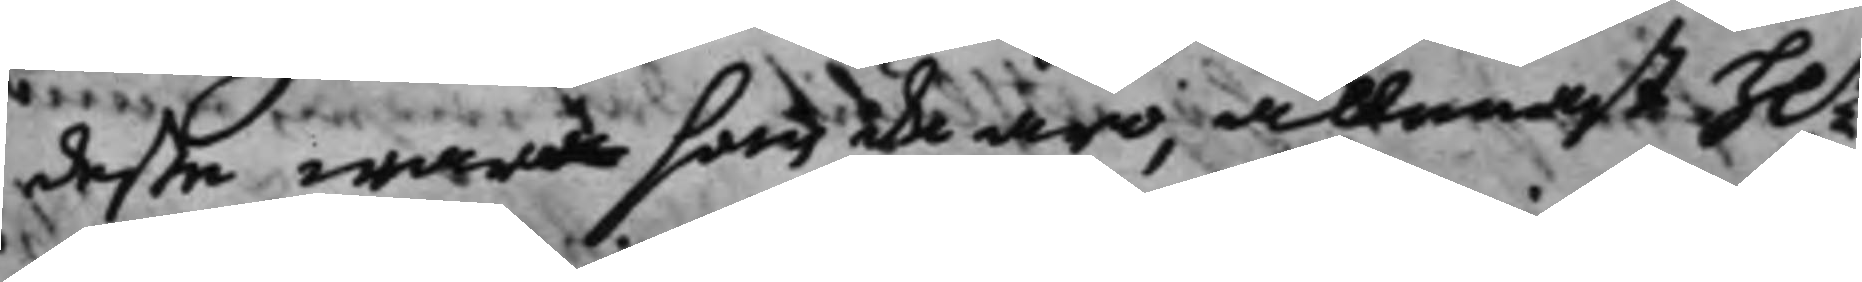deße wara som de äro, allenast h.r
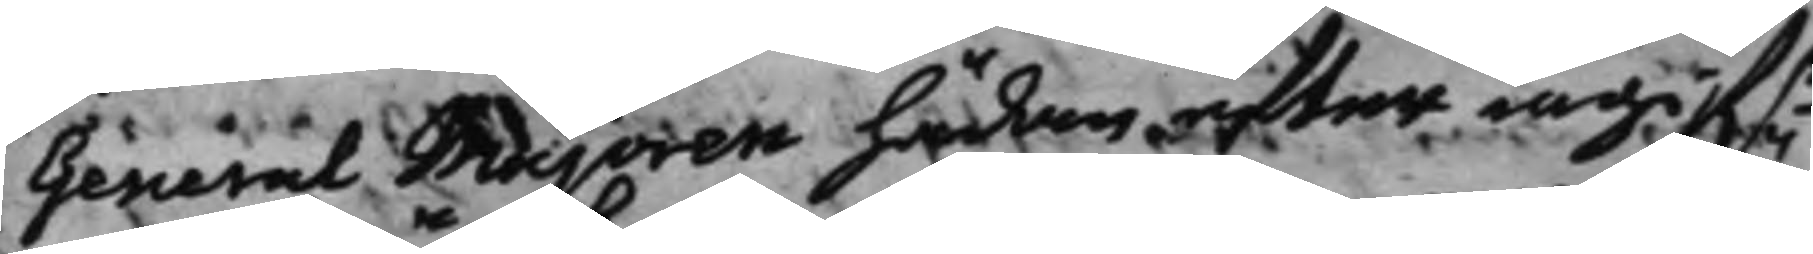General Majoren hädan efter ingifr
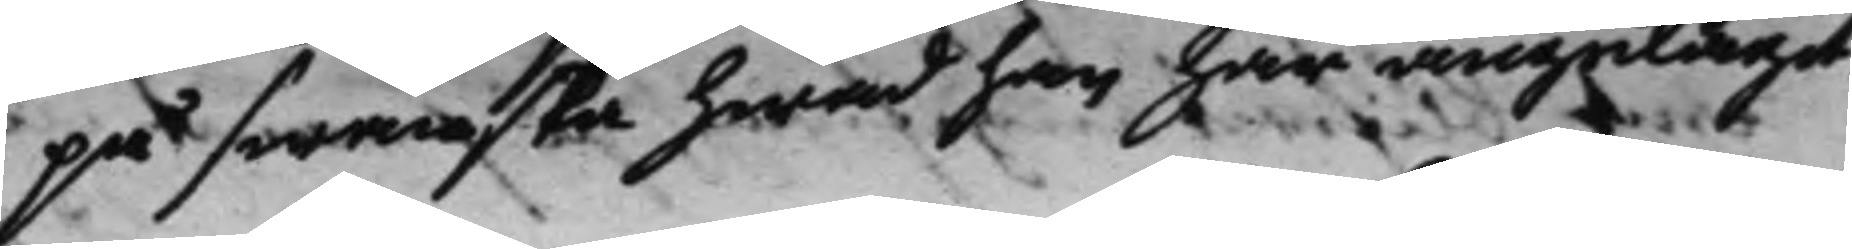på Swänska hwad han har angelägit.
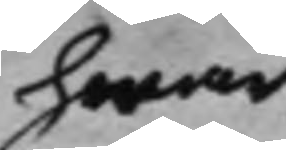hwar
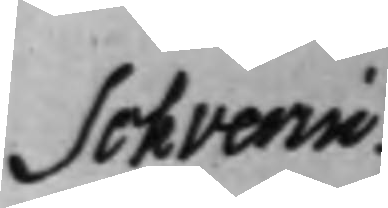Schverin
